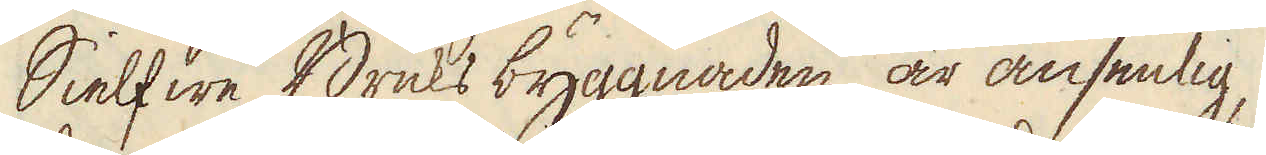Sielfwe Bruks byggnaden är ansenlig,
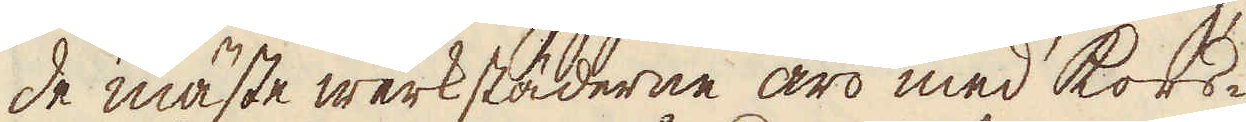de mäste werkstäderne äro med kors-
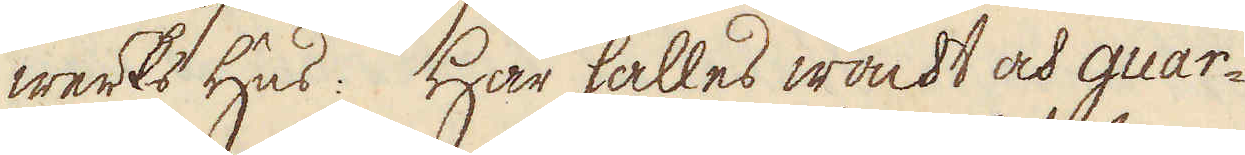werks hus. Här hålles wackt och guar-
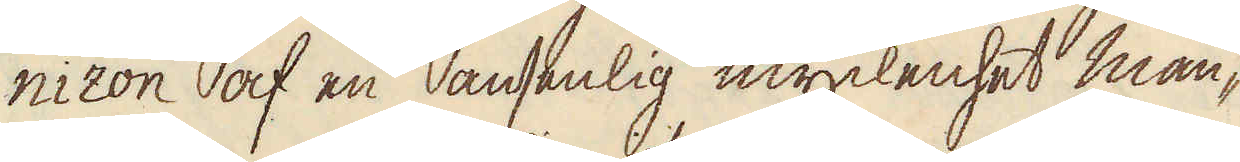nizon af en ansenlig myckenhet man-
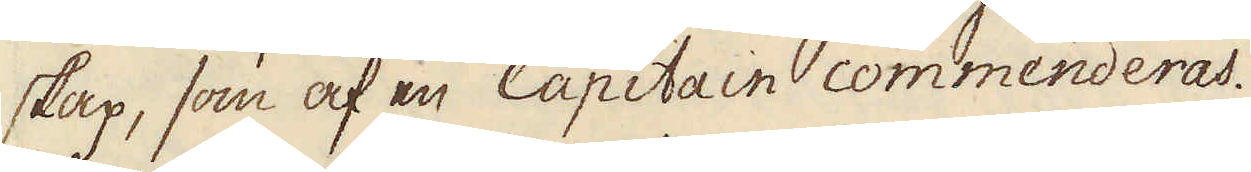skap, som af en Capitain commenderas.
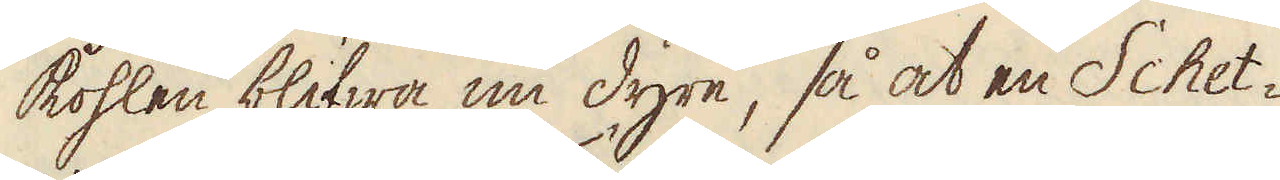Kohlen blifwa nu dyre, så at en Schet-
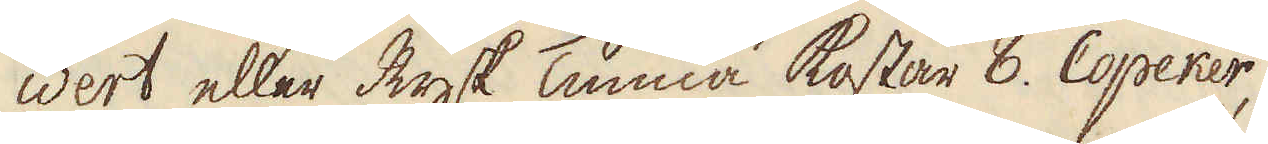wert eller Rysk Tunna kostar 8. Copeker,
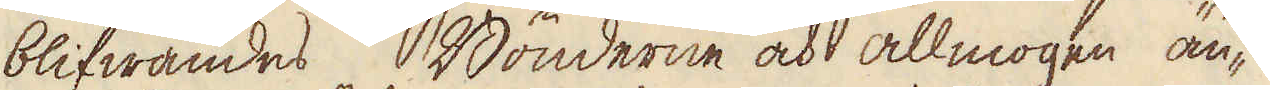blifwandes Bönderne och allmogen än-
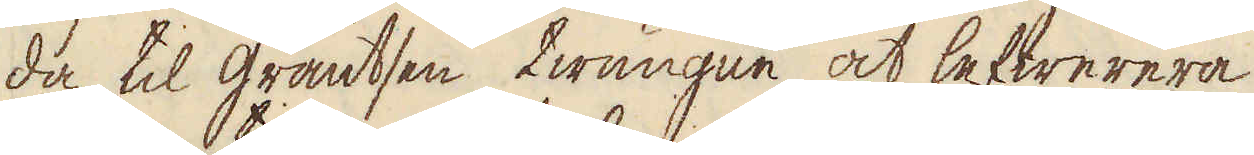da til gräntsen twungne at lefwerera
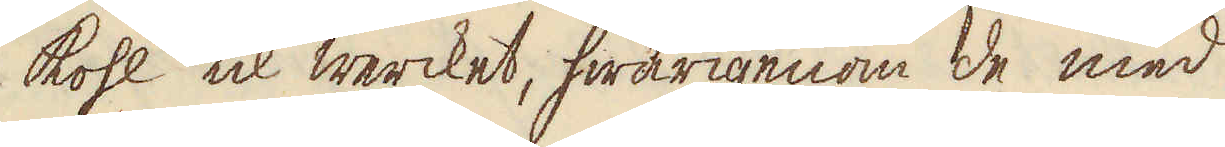kohl til wercket, hwarigenom de med
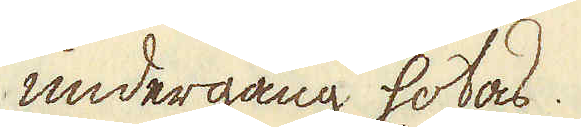undergång hotas.
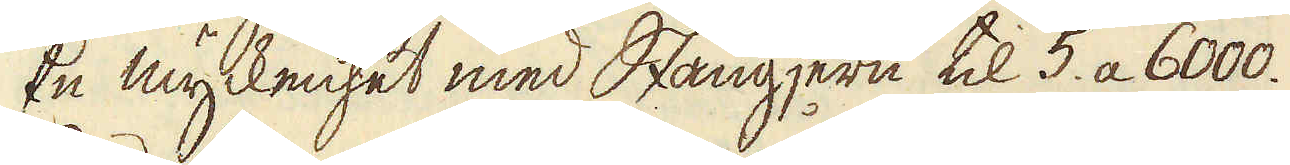En myckenhet med Stångjern til 5. a 6000.
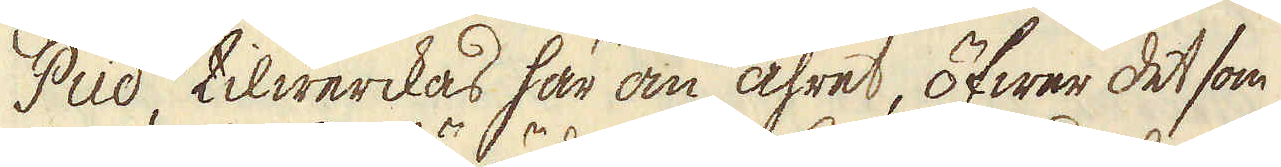Pud, tilwerckas här om åhret, öfwer det som
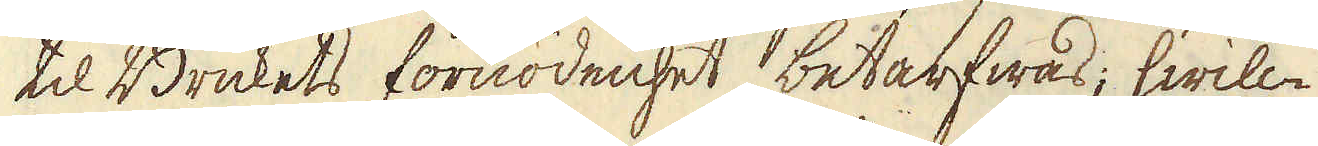til Brukets förnödenhet betarfwas; hwilc-
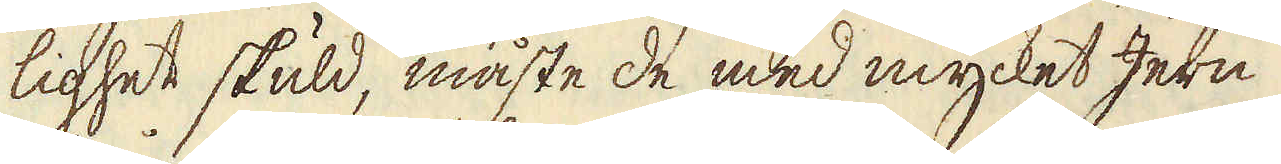lighet skuld, måste de med mycket Jern
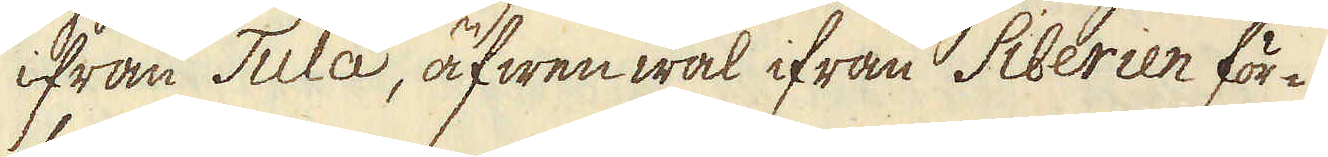ifrån Tula, äfwen wäl ifrån Siberien för-
